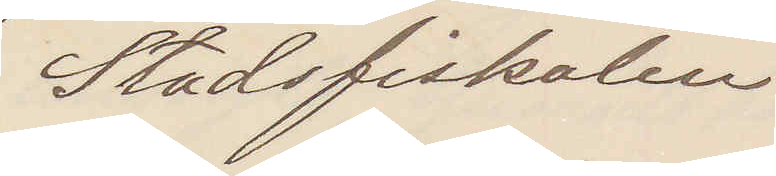Stadsfiskalen
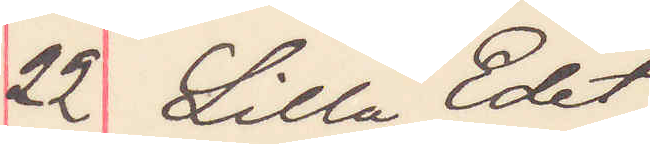22 Lilla Edet
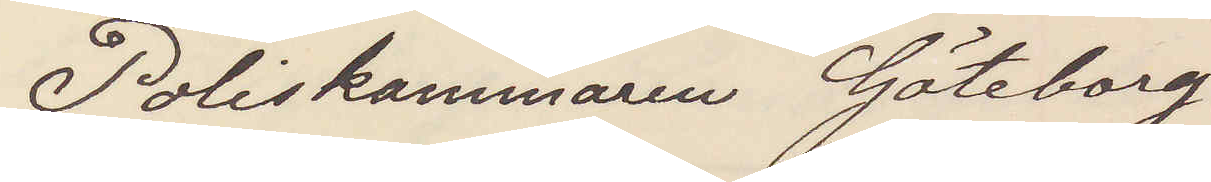Poliskammaren Göteborg
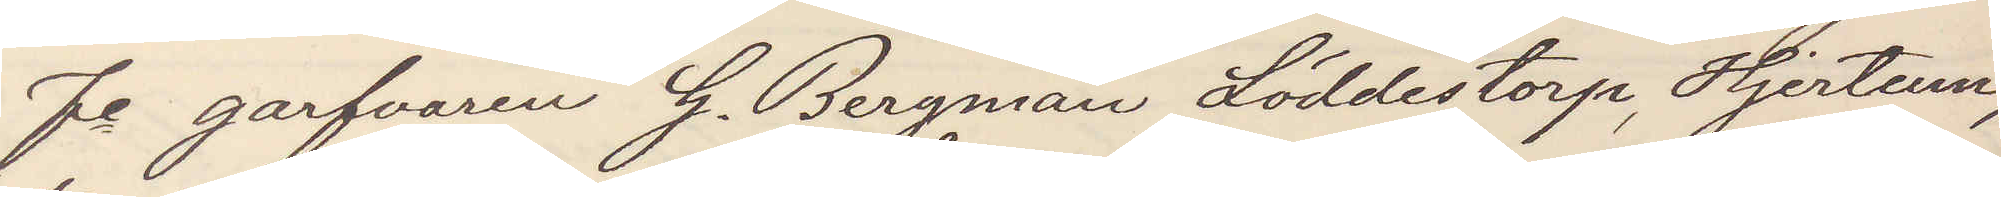Fe garfvaren G. Bergman Löddestorp, Hjertum,
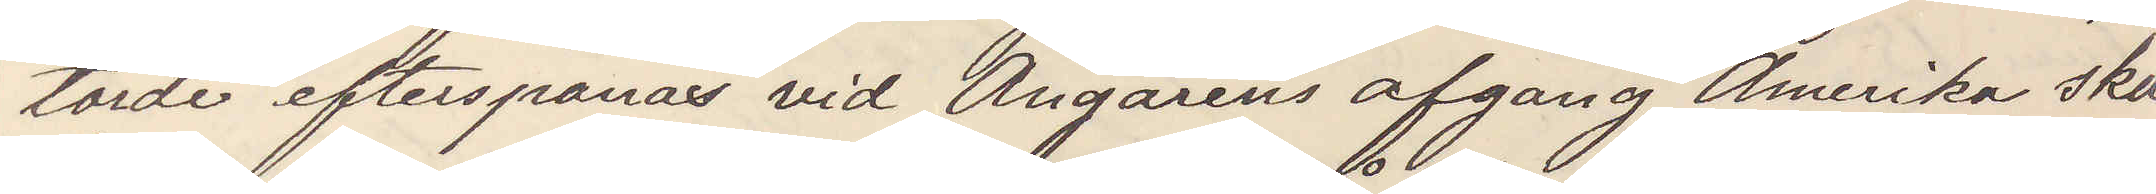torde efterspanas vid Ångarens afgång Amerika skä¬
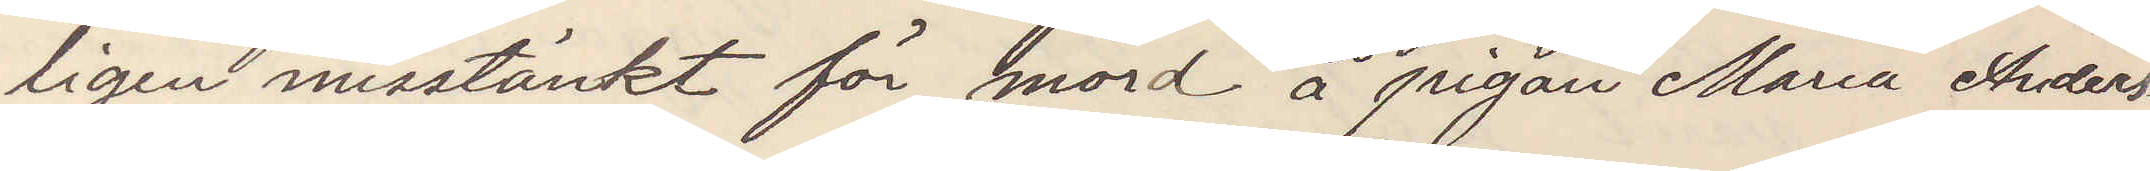ligen misstänkt för mord å pigan Maria Anders¬
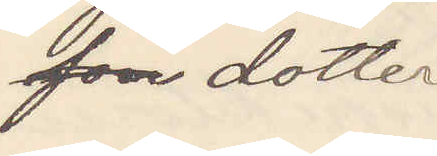son dotter
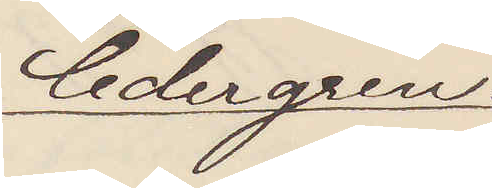Cedergren.
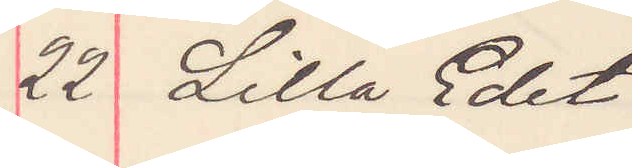22 Lilla Edet
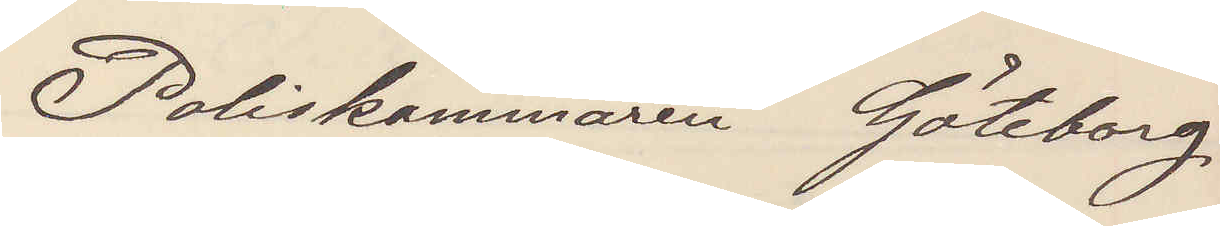Poliskammaren Göteborg.
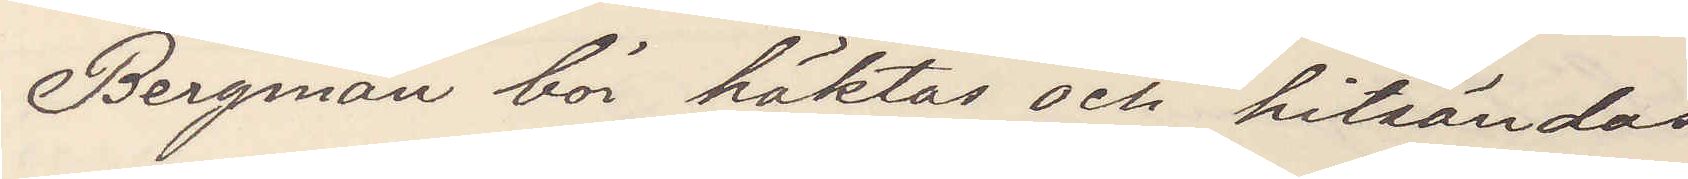Bergman bör häktas och hitsändas
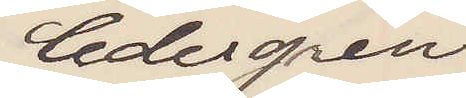Cedergren
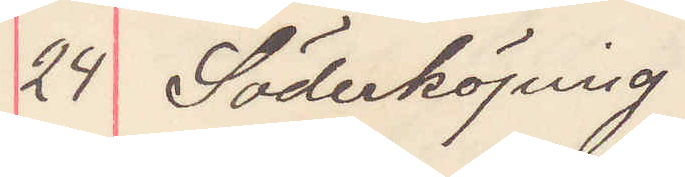24 Söderköping
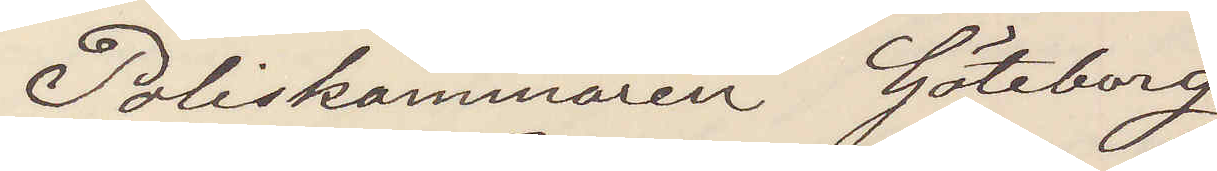Poliskammaren Göteborg
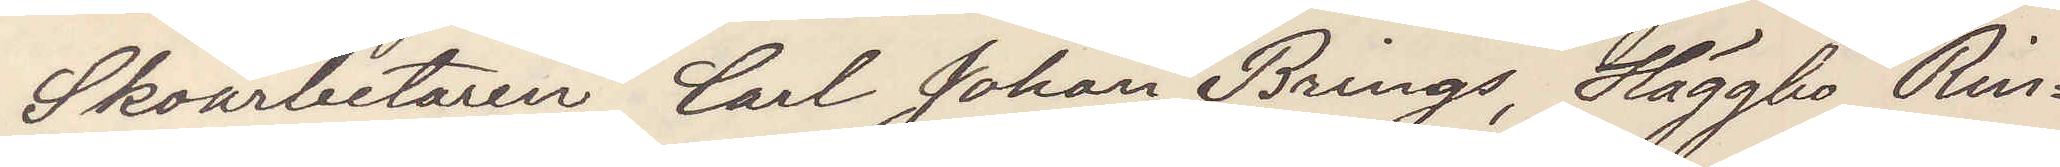Skoarbetaren Carl Johan Brings, Häggbo Rin¬
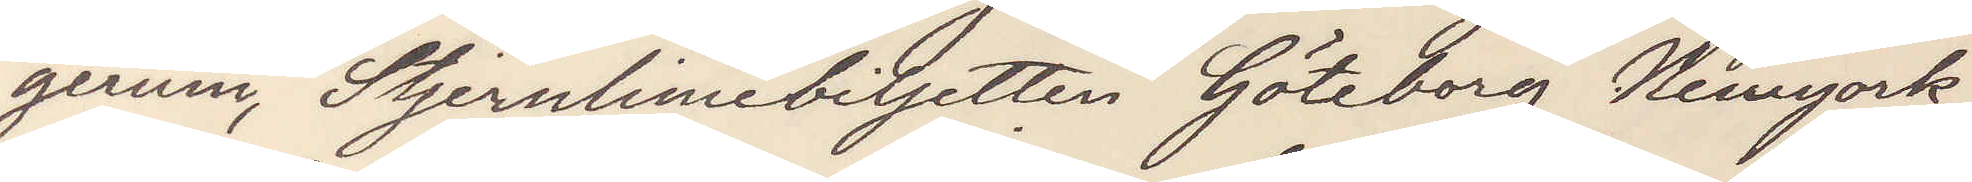gerum, Stjernliniebiljetten Göteborg Newyork -
